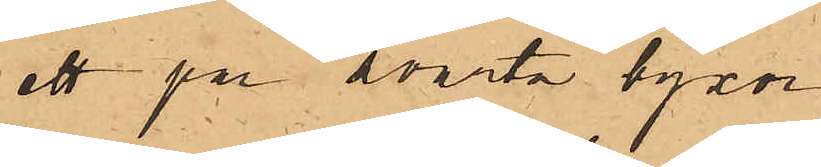ett par svarta byxor
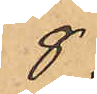8.
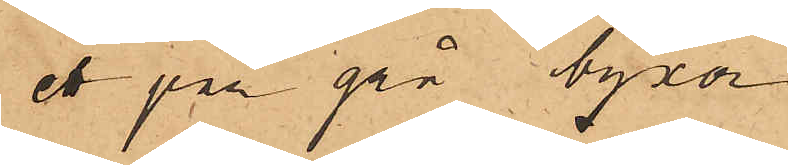ett par grå byxor
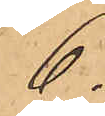6.
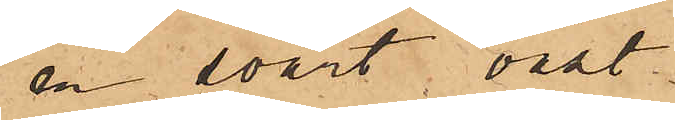en svart väst
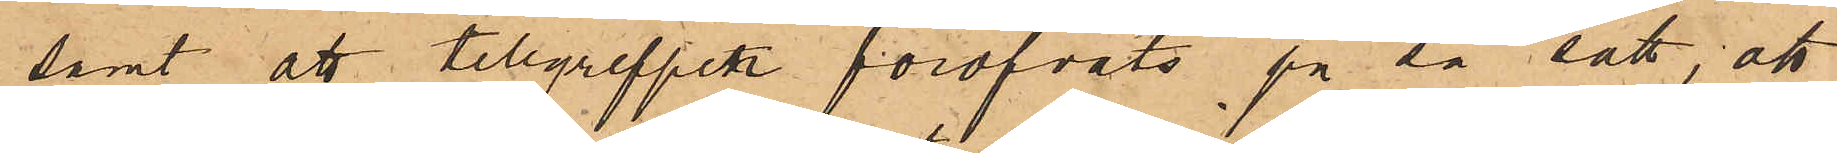samt att tillgreppen föröfvats på så sätt, att
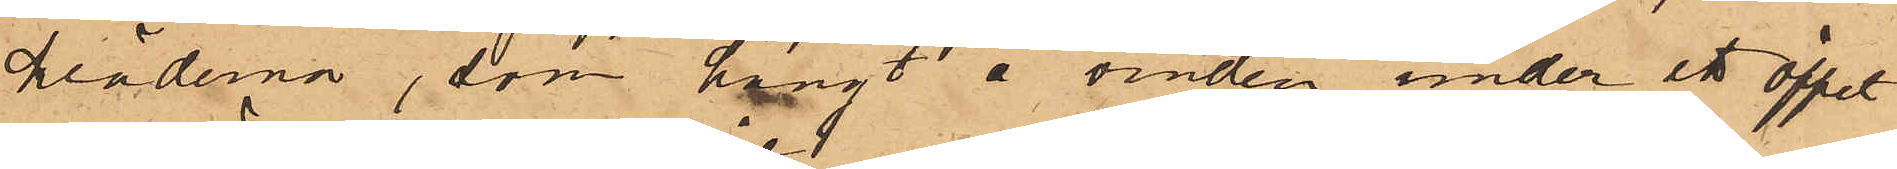kläderna, som hängt å vinden under ett öppet
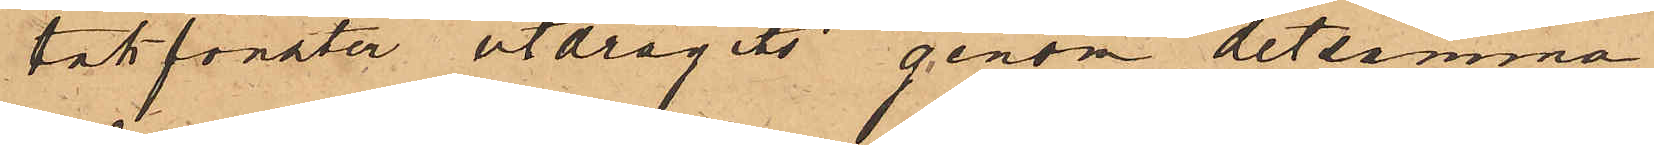takfönster utdragits genom detsamma.
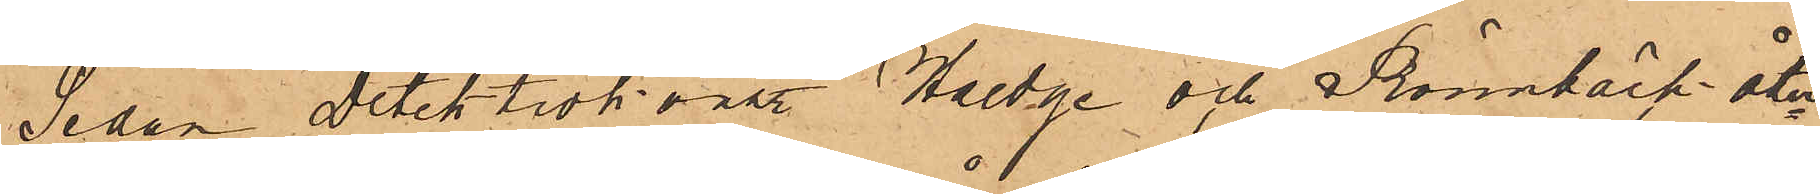Sedan Detektivkonst Haedge och Rönnbäck åter¬
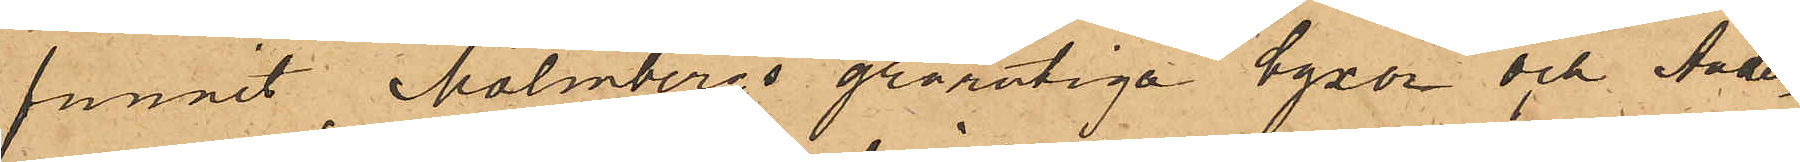funnit Malmbergs grårutiga byxor och Ander¬
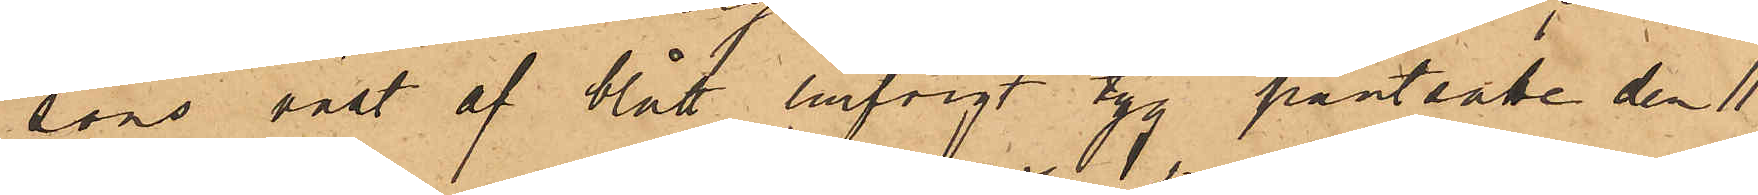sons väst af blått lurfvigt tyg pantsatte den 11
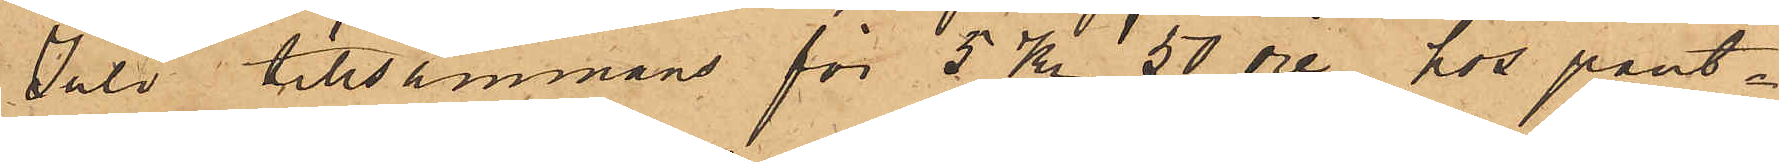Juli tillsammans för 5 Kr 50 öre hos pant¬
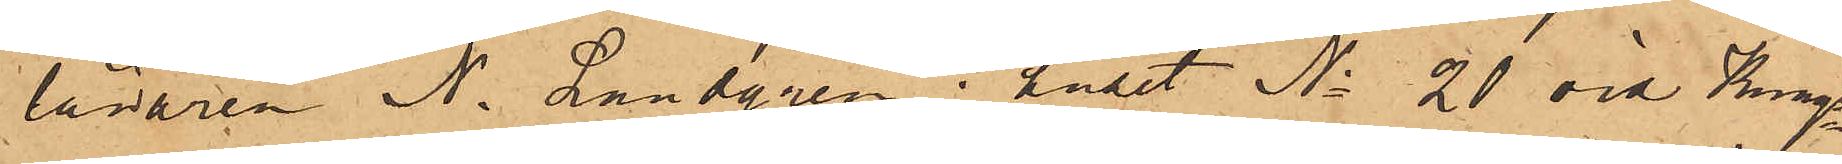lånaren N. Landgren i huset No 20 vid Kungs¬
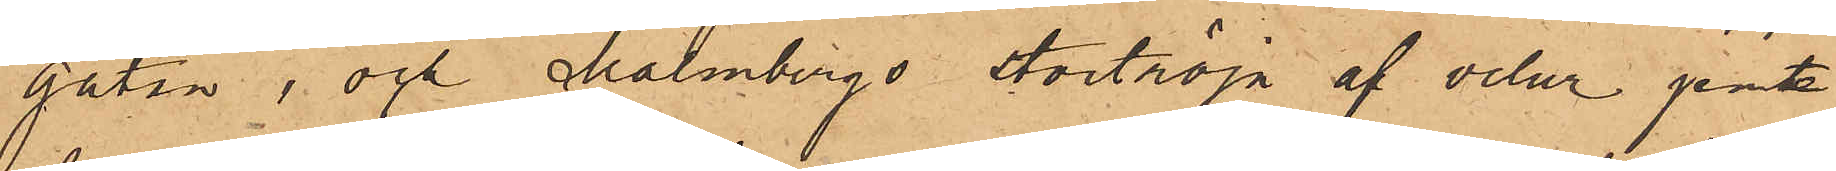gatan, och Malmbergs stortröja af velur jemte
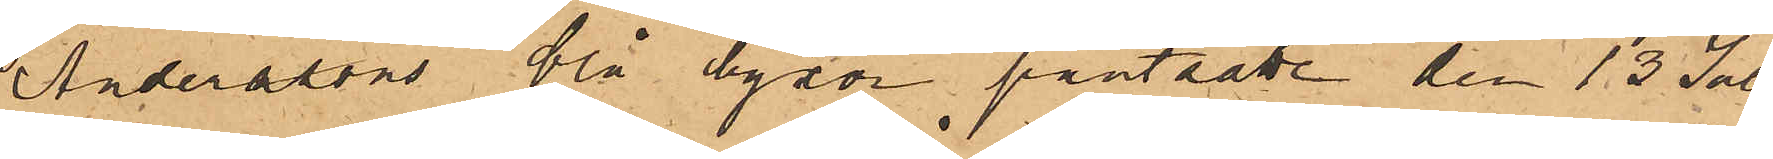Anderssons blå byxor pantsatte den 13 Juli
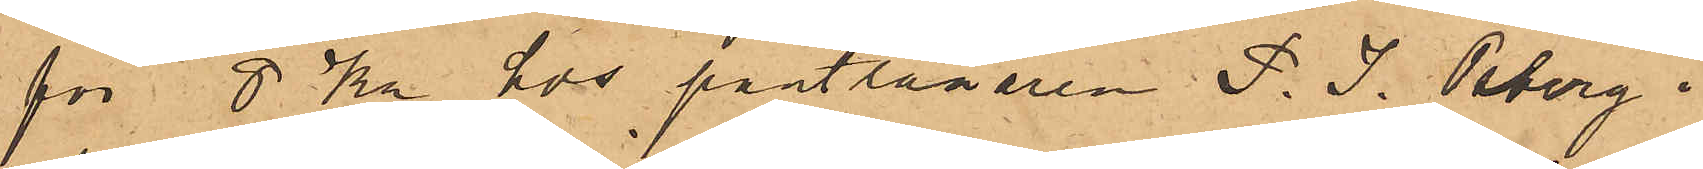för 8 Kr hos pantlånaren P. J. Osberg i
